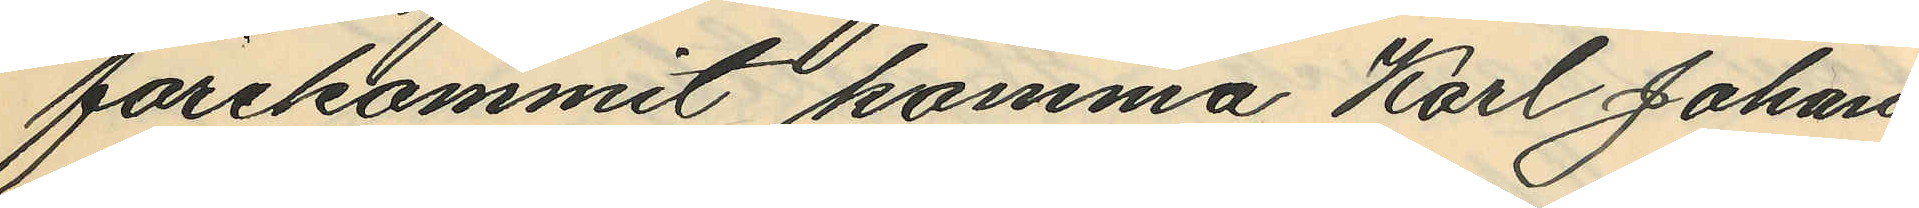förekommit, komma Karl Johan
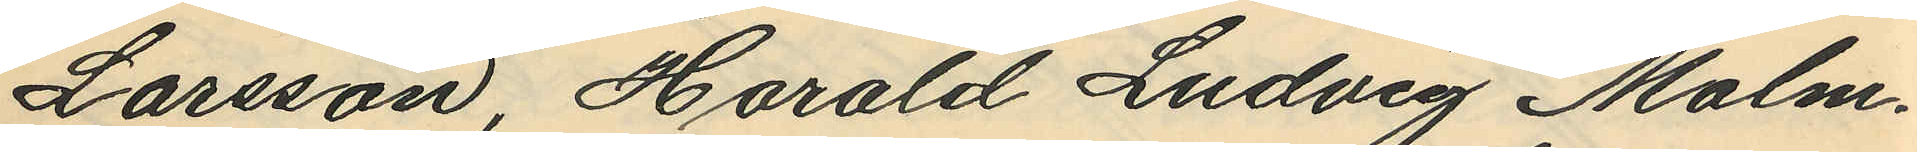Larsson, Harald Ludvig Malm¬
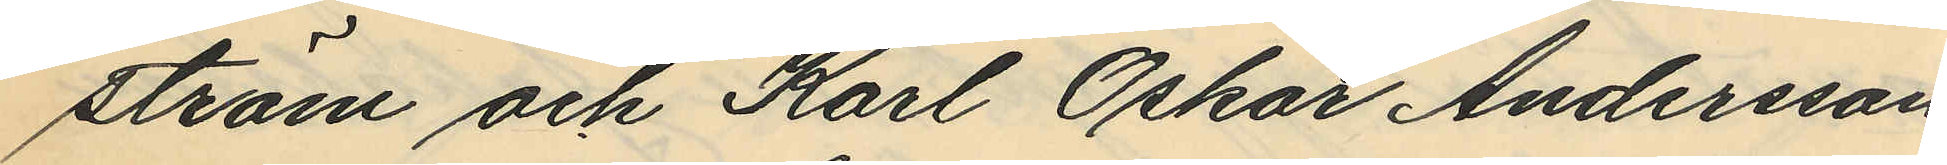ström och Karl Oskar Andersson
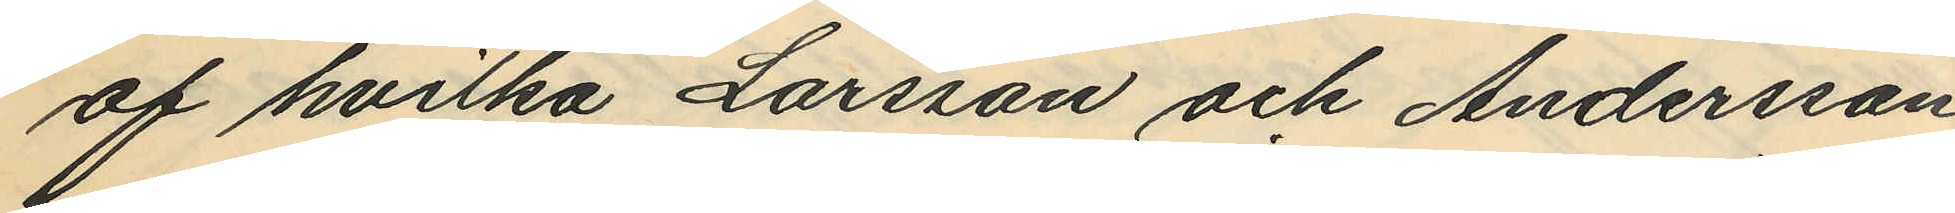af hvilka Larsson och Andersson
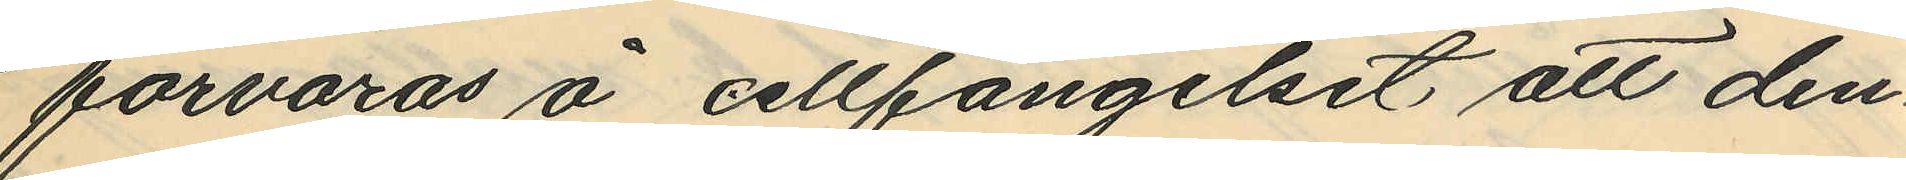förvaras å cellfängelset, att den¬
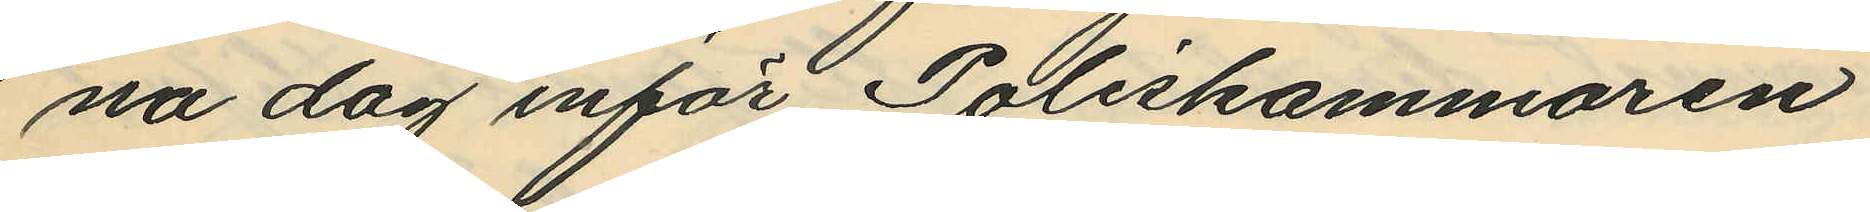na dag inför Poliskammaren
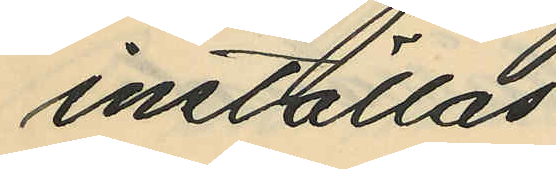inställas.
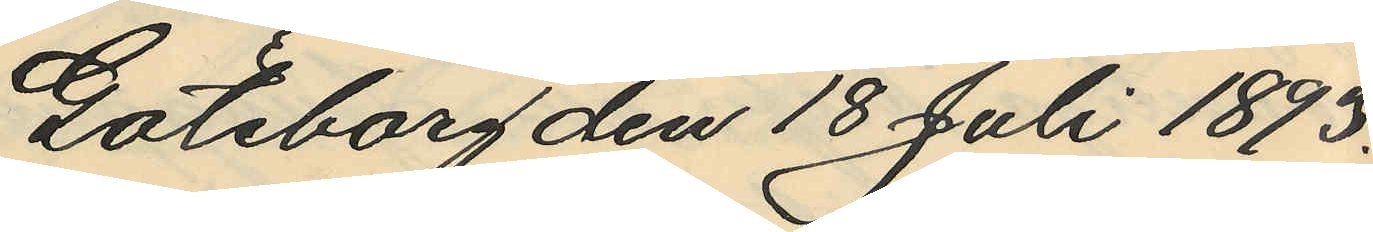Göteborg den 18 Juli 1893.
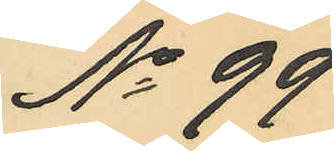No 99.
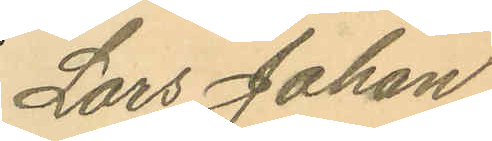Lars Johan
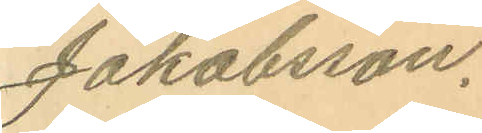Jakobsson.
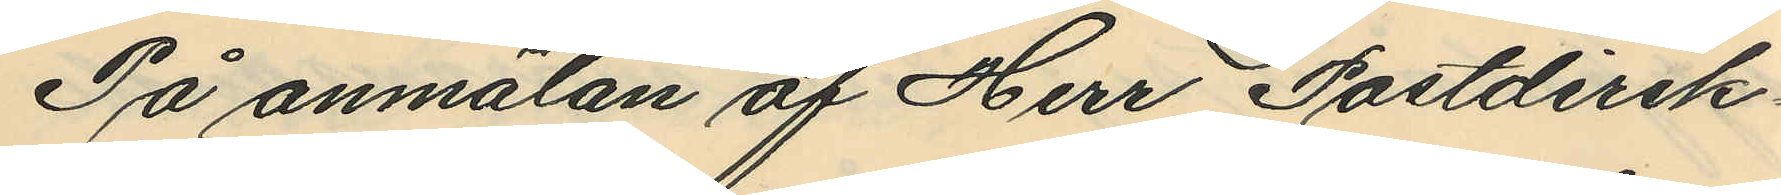På anmälan af Herr Postdirek¬
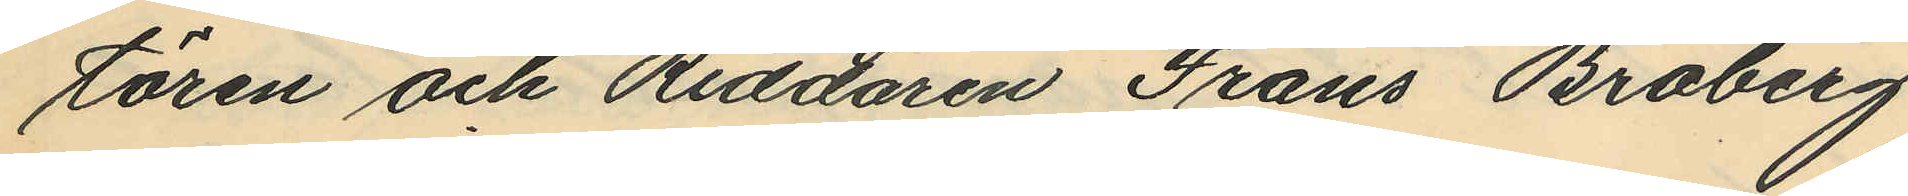tören och Riddaren Frans Broberg
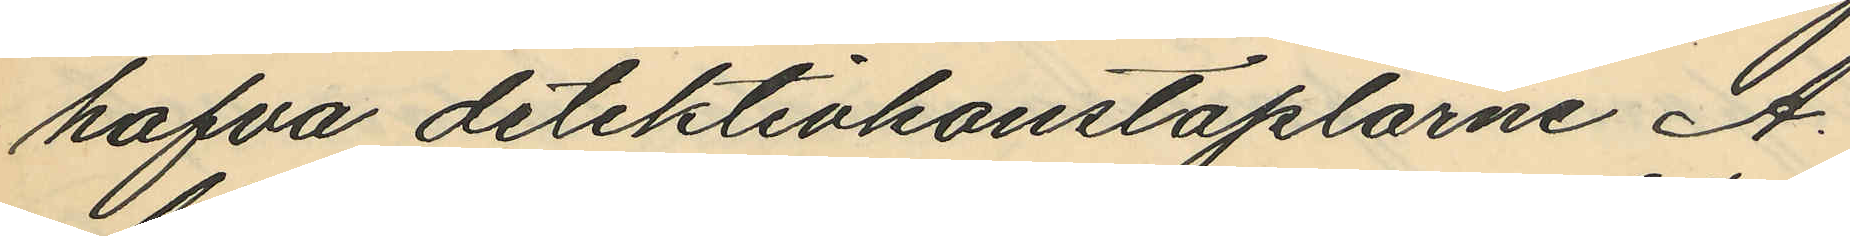hafva detektivkonstaplarne A.
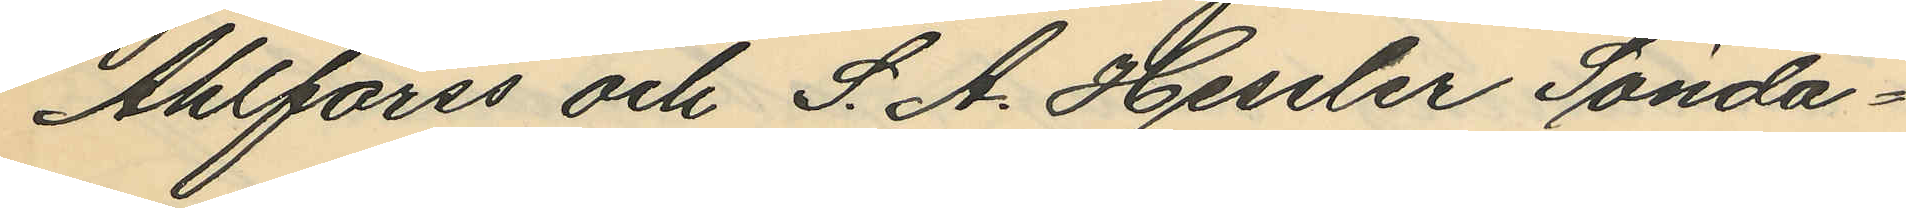Ahlforss och S. A. Hessler Sönda¬
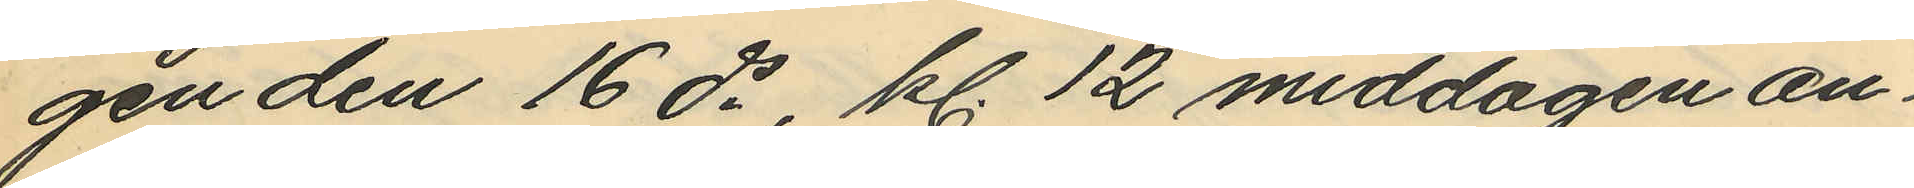gen den 16 ds, kl. 12 middagen an¬
